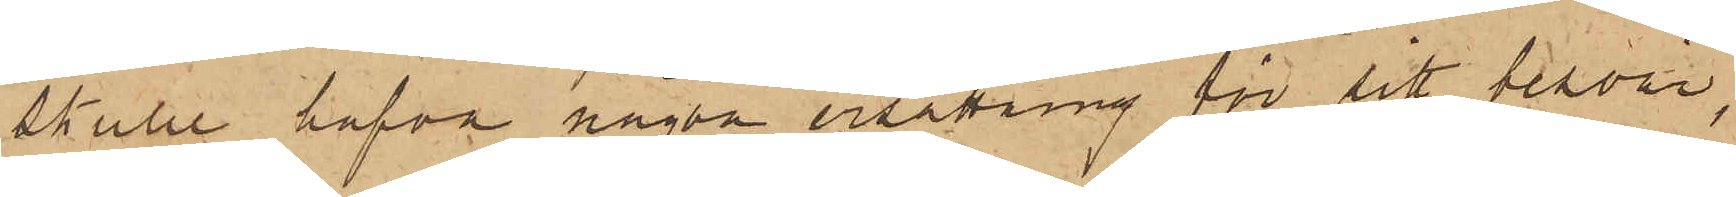skulle hafva någon ersättning för sitt besvär,
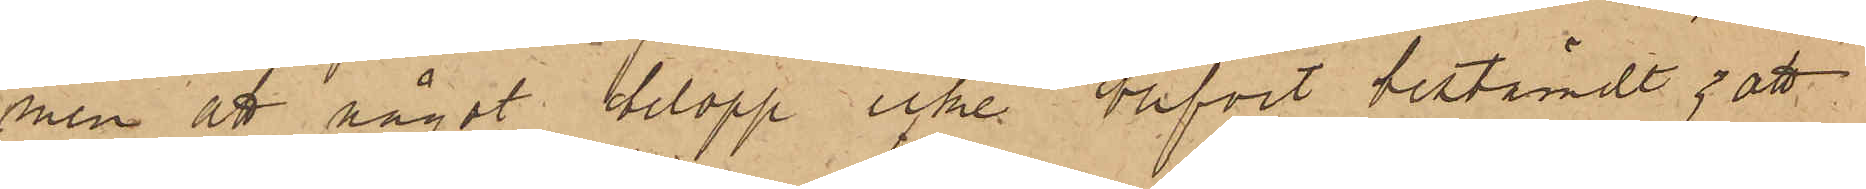men att något belopp icke blifvit bestämdt; att
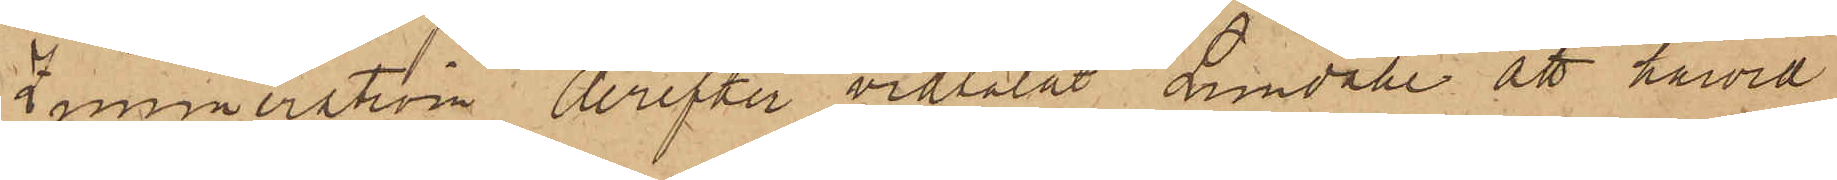Zimmerström derefter vidtalat Lundahl att härvid
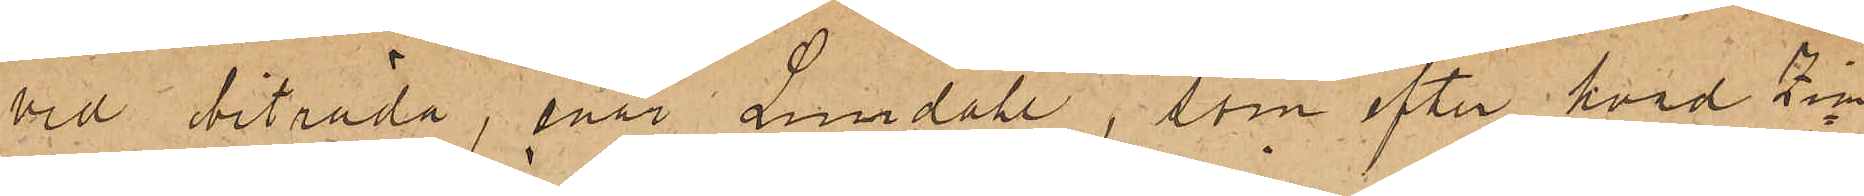vid biträda, enär Lundahl, som efter hvad Zim¬
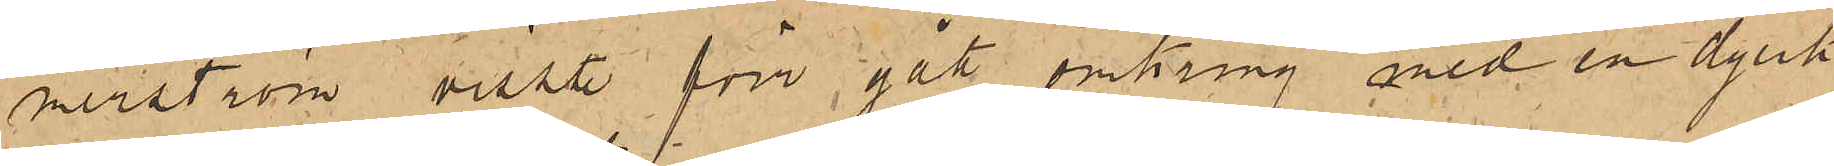merström visste förr gått omkring med en dylik
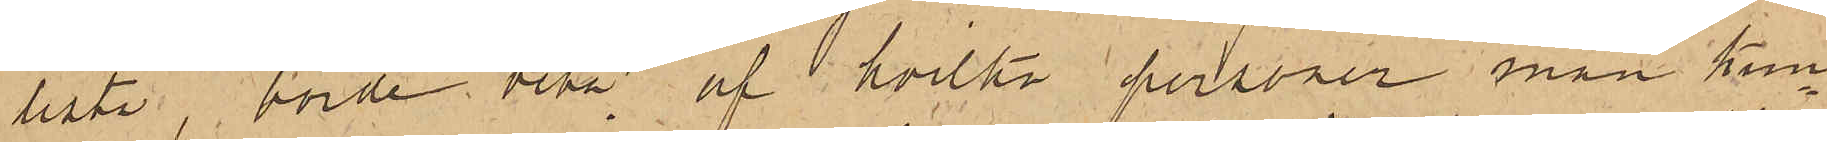lista, borde veta af hvilka personer man kun¬
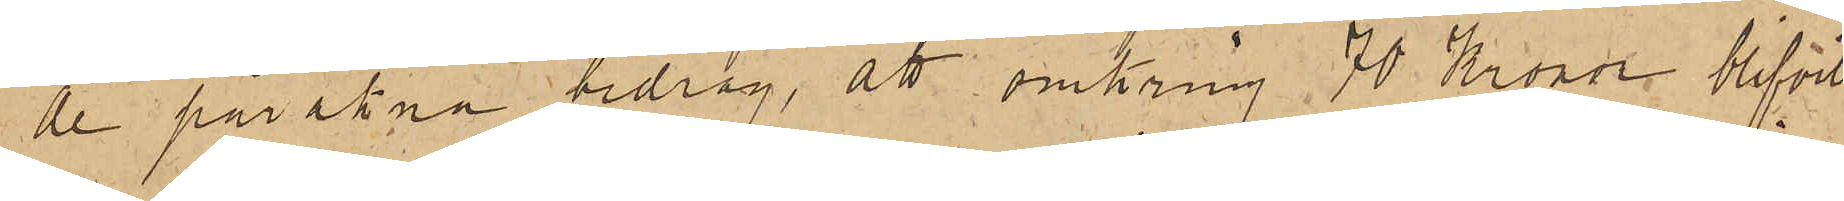de påräkna bidrag, att omkring 70 Kronor blifvit
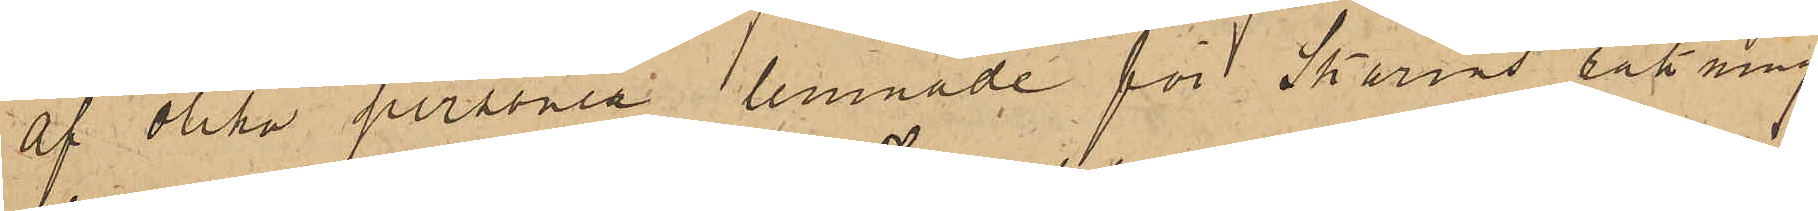af olika personer lemnade för Skarins räkning
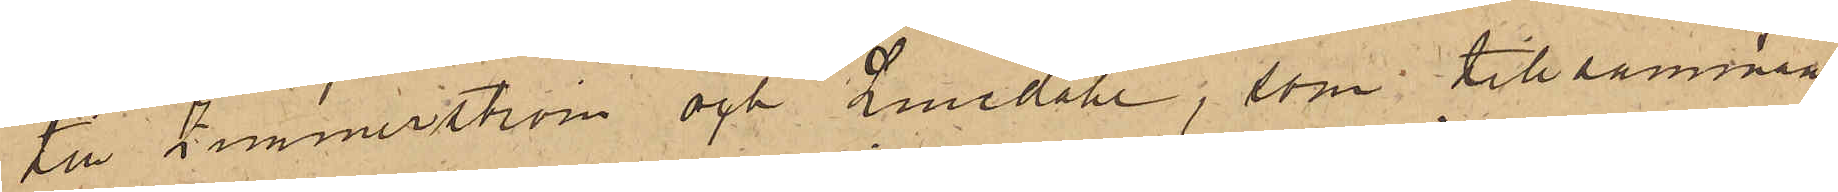till Zimmerström och Lundahl, som tillsammans
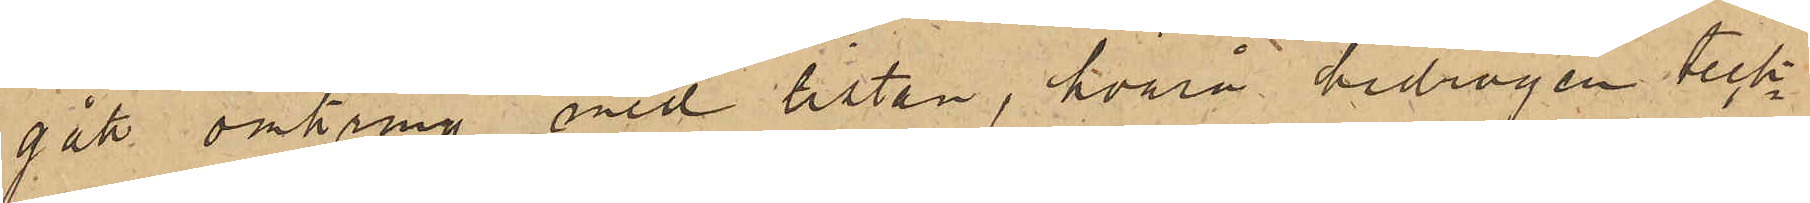gått omkring med listan, hvarå bidragen teck¬
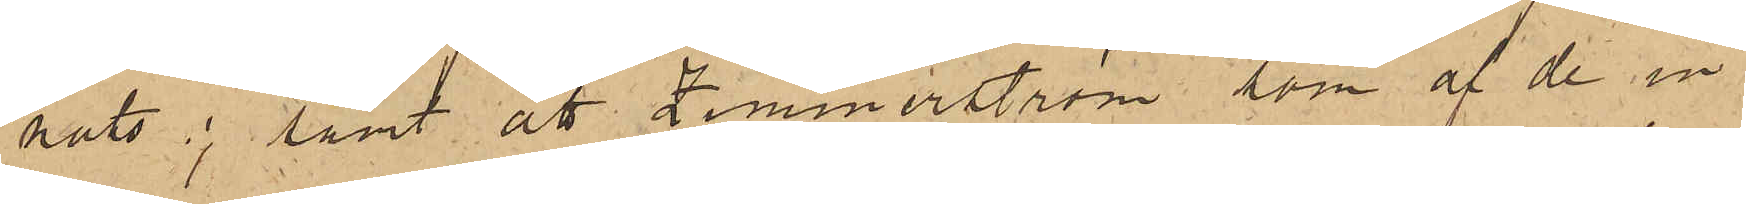nats; samt att Zimmerström, som af de in¬
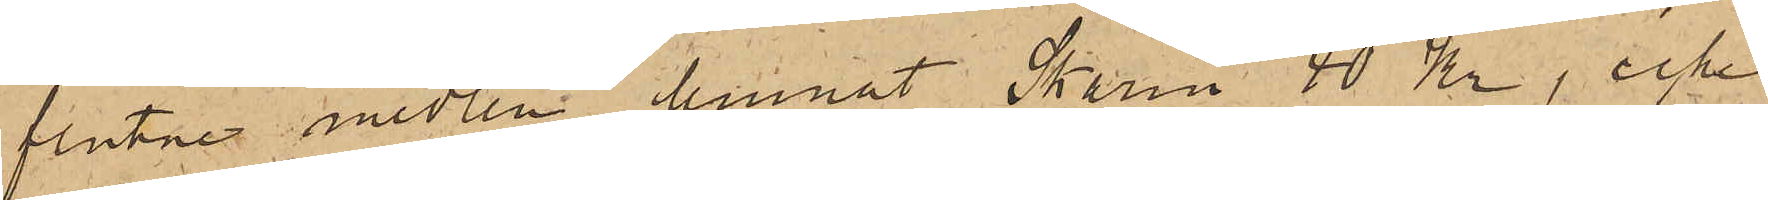flutne medlen lemnat Skarin 40 Kr; icke
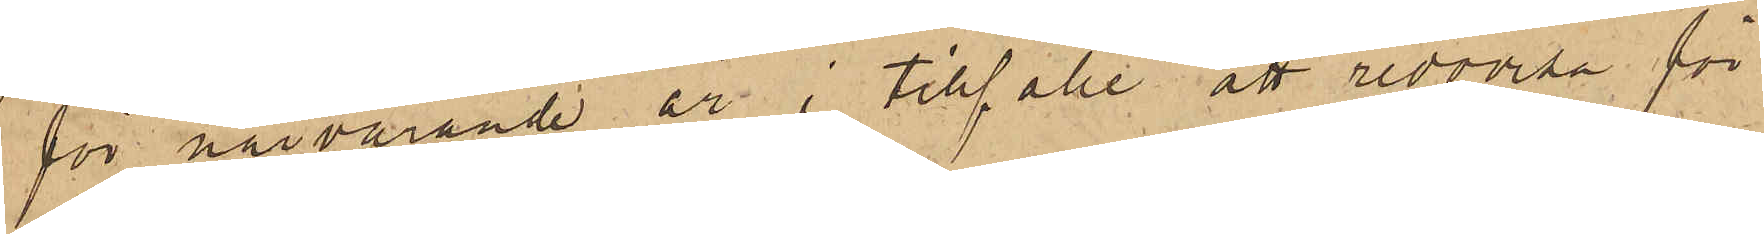för närvarande är i tillfälle att redovisa för
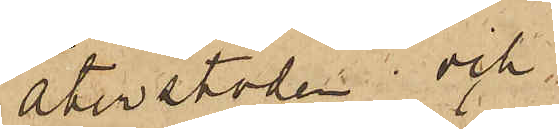återstoden och,
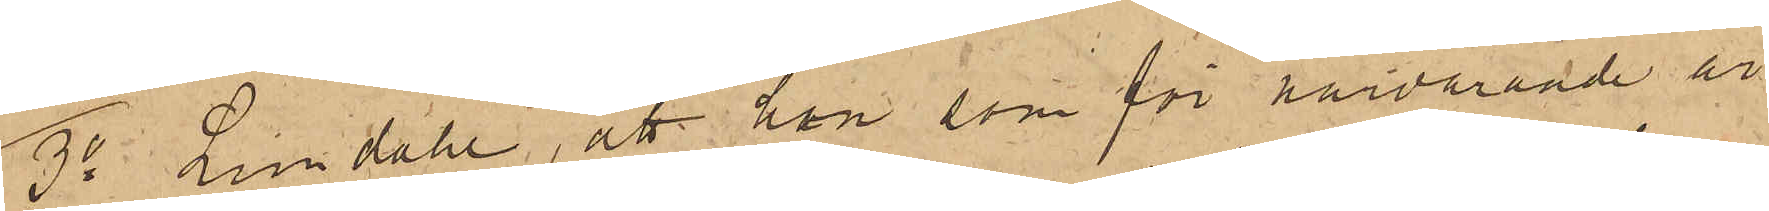3o Lundahl, att han som för närvarande är
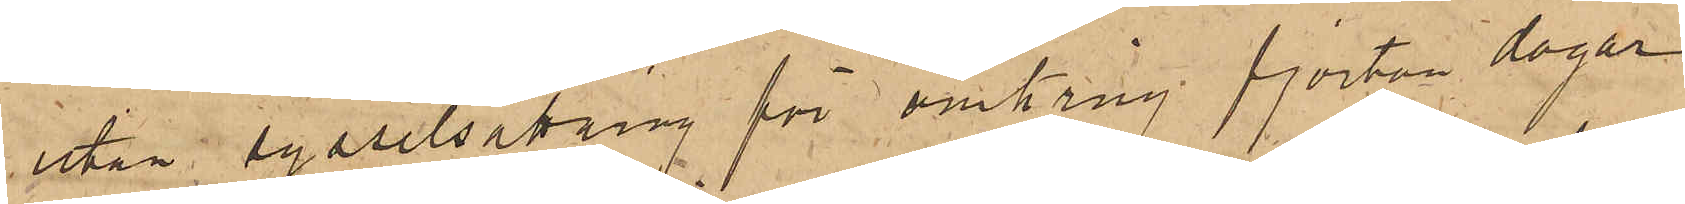utan sysselsättning för omkring fjorton dagar
